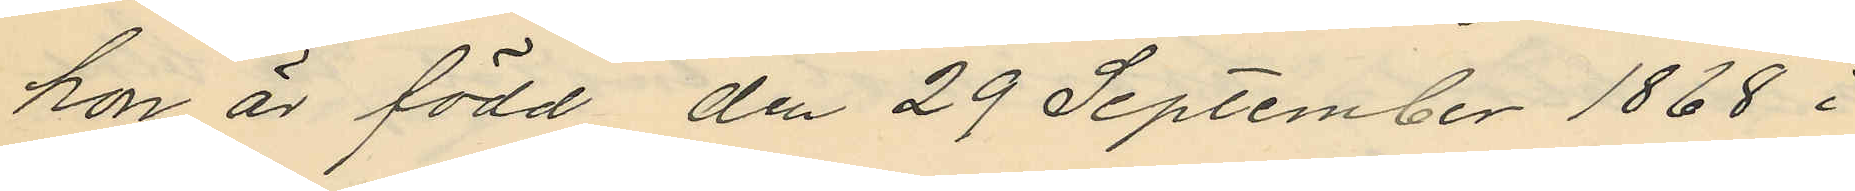hon är född den 29 September 1868 i
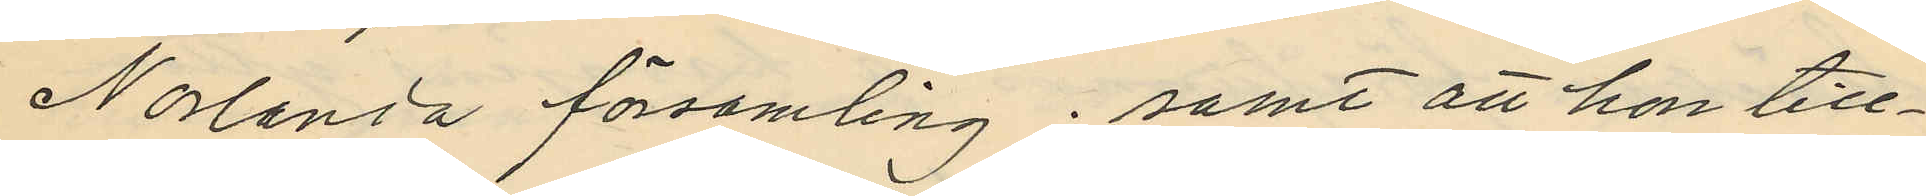Norlanda församling; samt att hon till¬
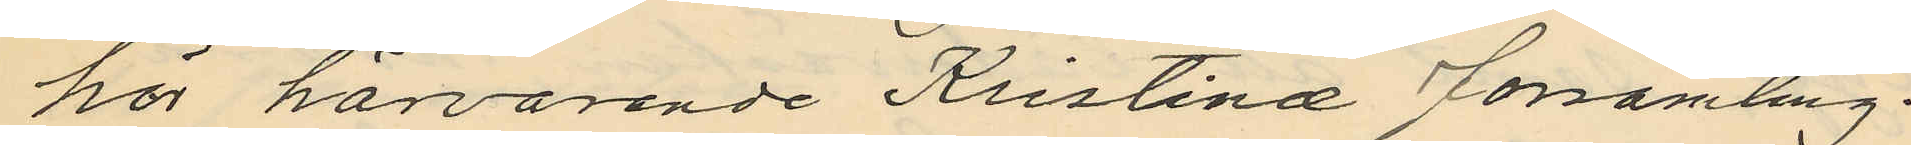hör härvarande Kristinæ Församling.
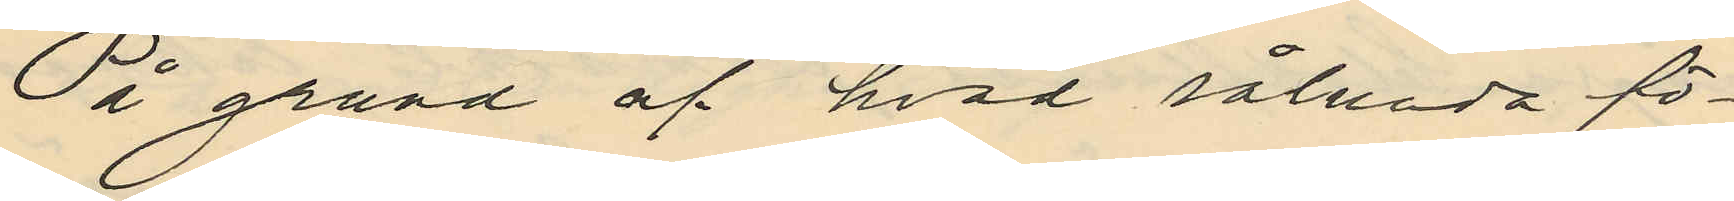På grund af hvad sålunda fö¬
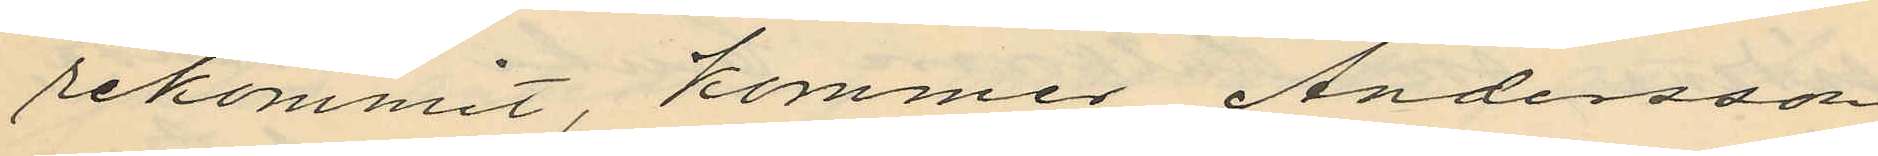rekommit, kommer Andersson
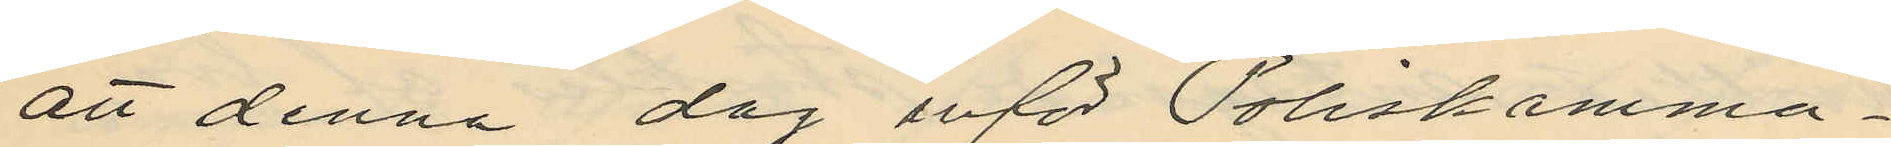att denna dag inför Poliskamma¬
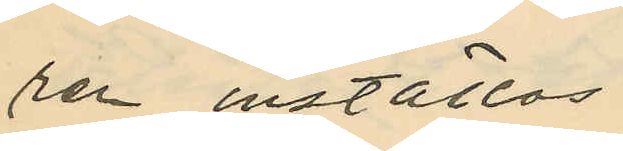ren inställas.
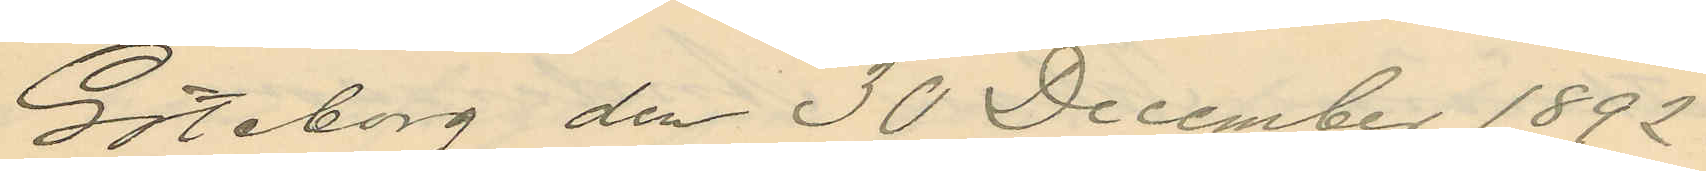Göteborg den 30 December 1892.
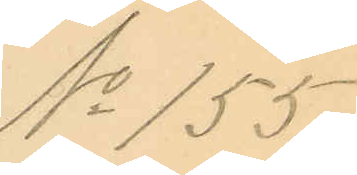No 155.
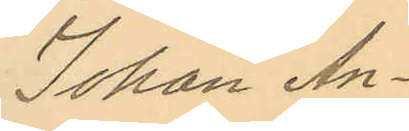Johan An¬
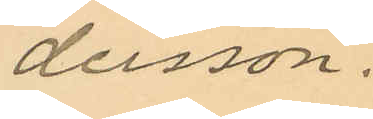dersson.
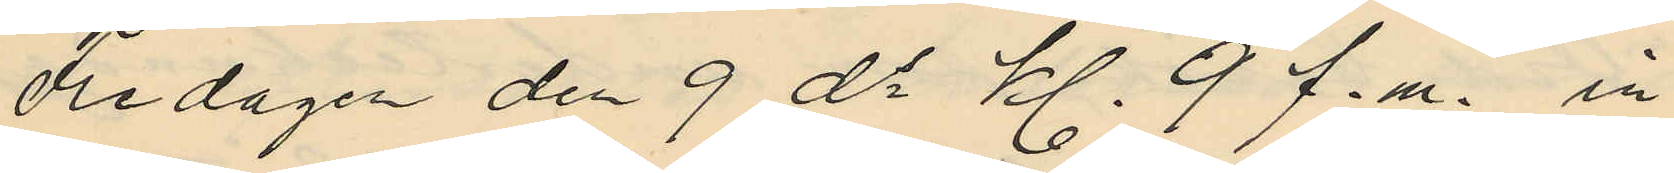Fredagen den 9 ds kl. 9 f.m., in¬
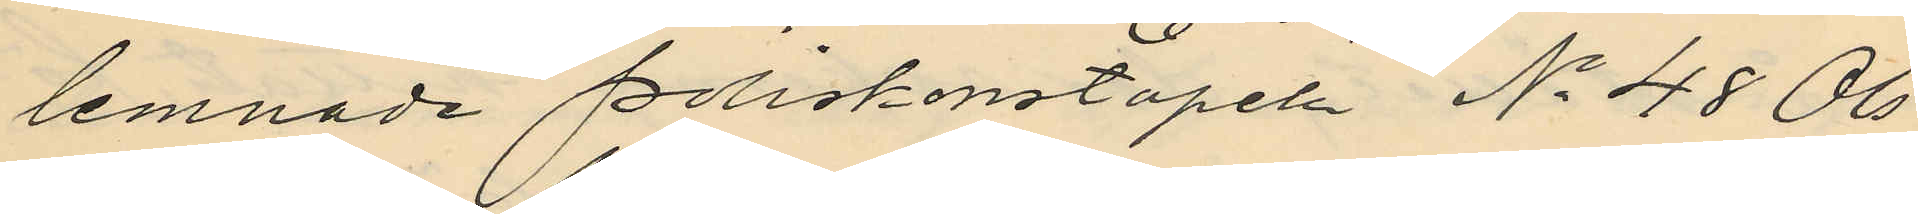lemnade Poliskonstapeln No 48 Ols¬
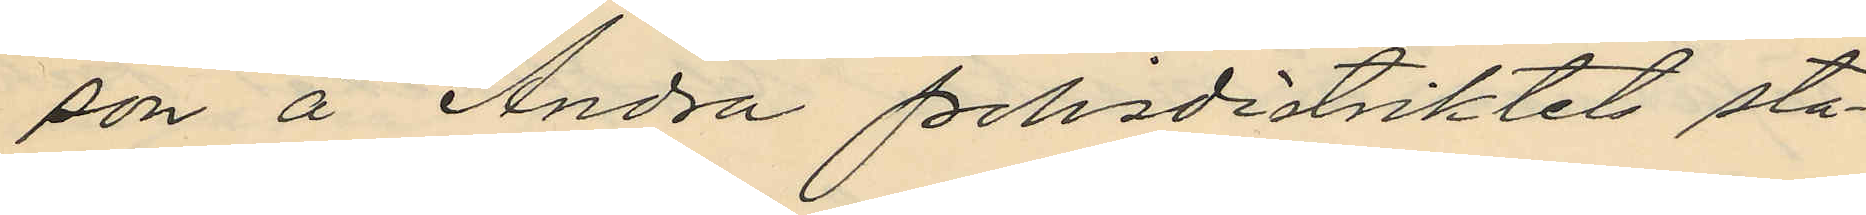son å Andra polisdistriktets sta¬
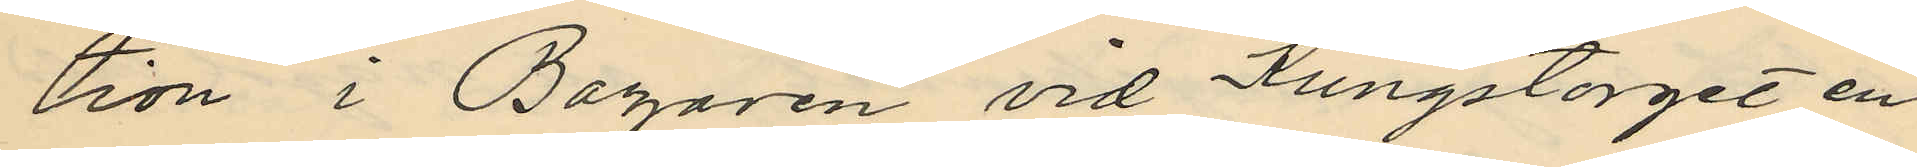tion i Bazaren vid Kungstorget en
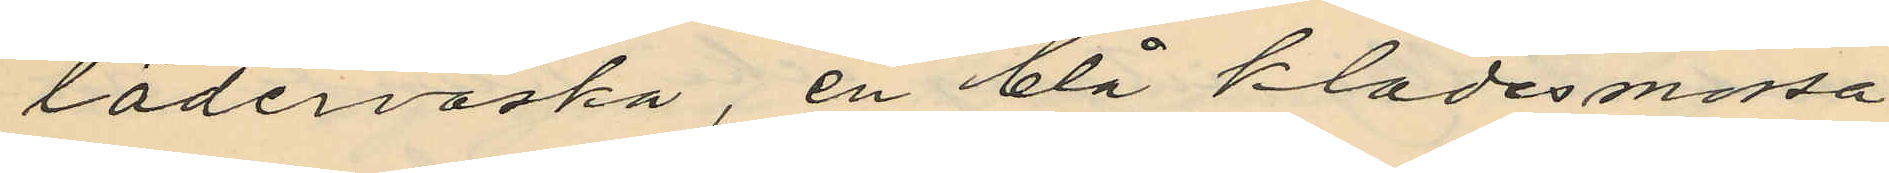läderväska, en blå klädesmössa
